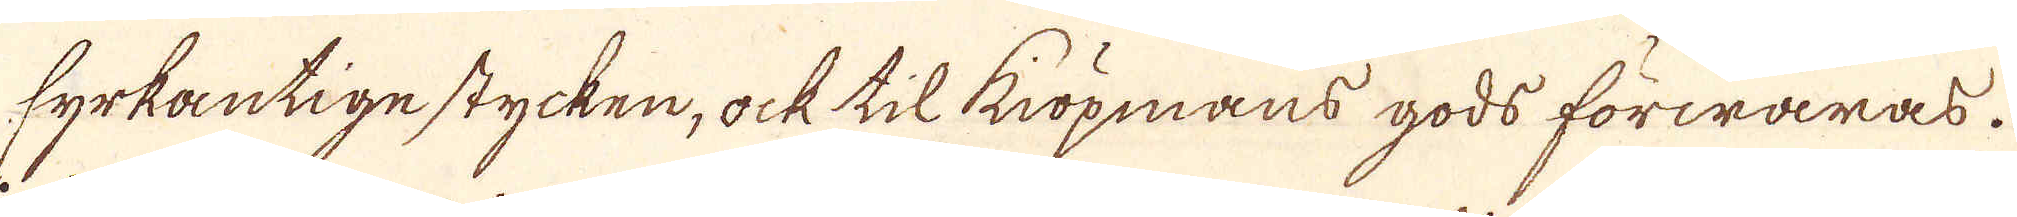fyrkantige stycken, ock til köpmans gods förwaras.
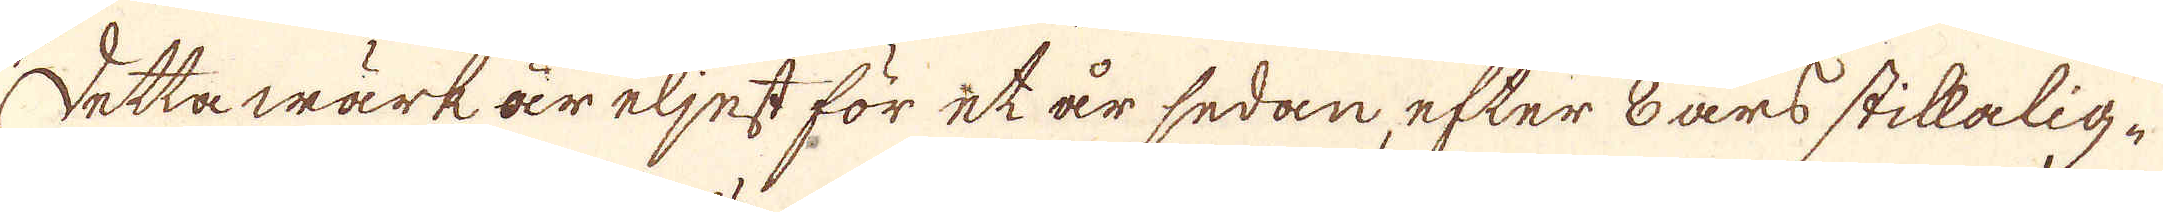detta wärk är eljest för et år sedan, efter 8 års stikalig-
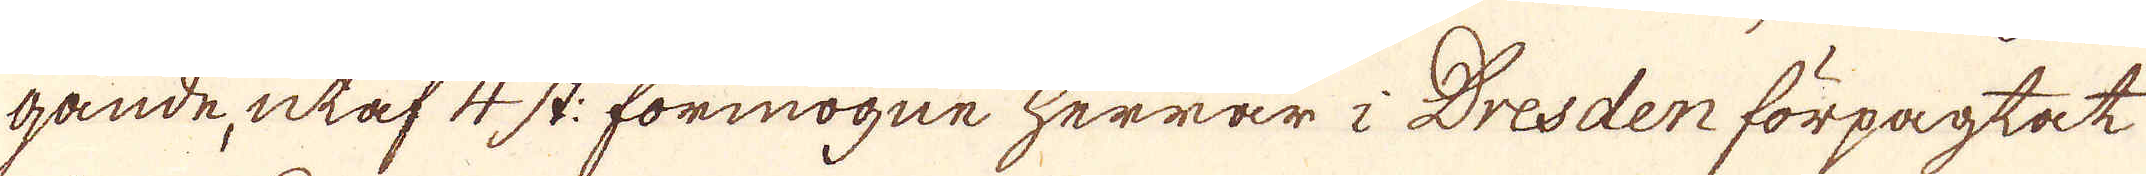gande, utaf 4 st: förmögne Herrar i Dresden förpagtet
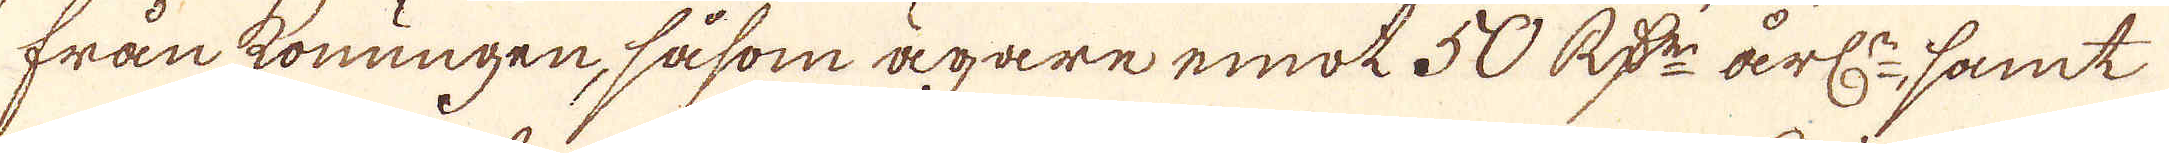från konungen, såsom ägare emot 50 R:dr årl:, samt
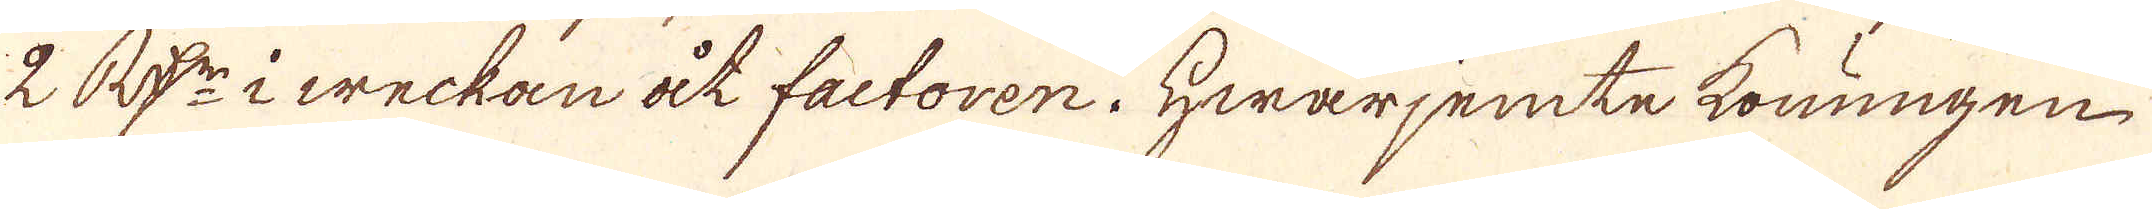2 R:dr i weckan åt factoren. Hwarjemte konungen
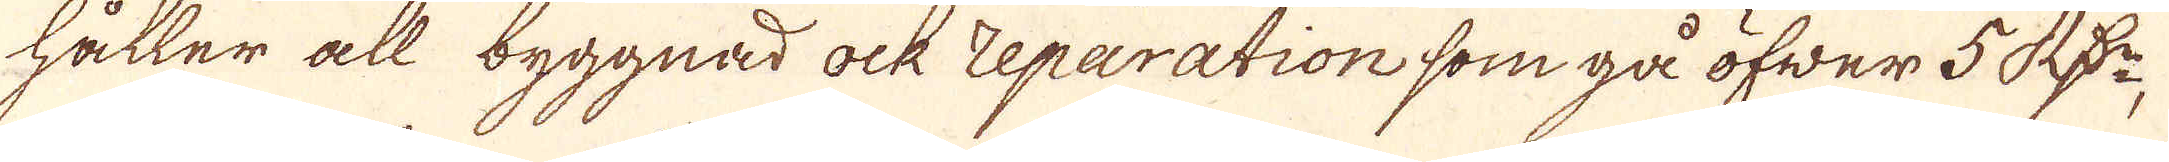håller all byggnad ock reparation som gå öfwer 5 R:dr,
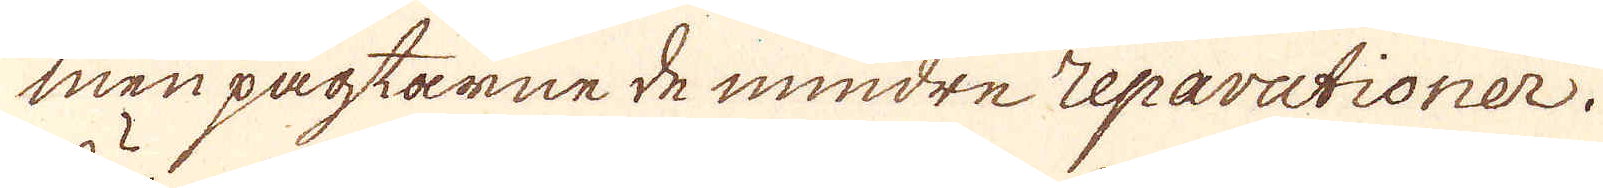men pagtarne de mindre reparationer.
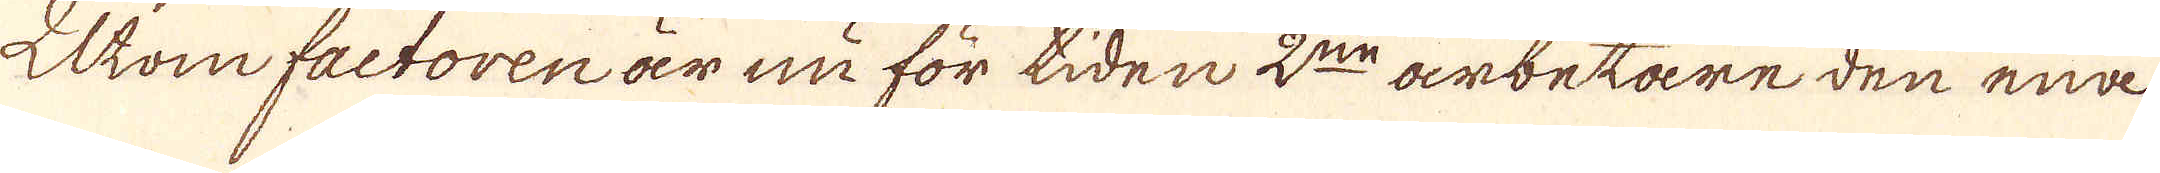Utom factoren är nu för tiden 2:ne arbetare den ena
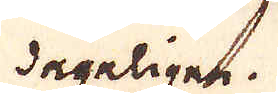dageligen.
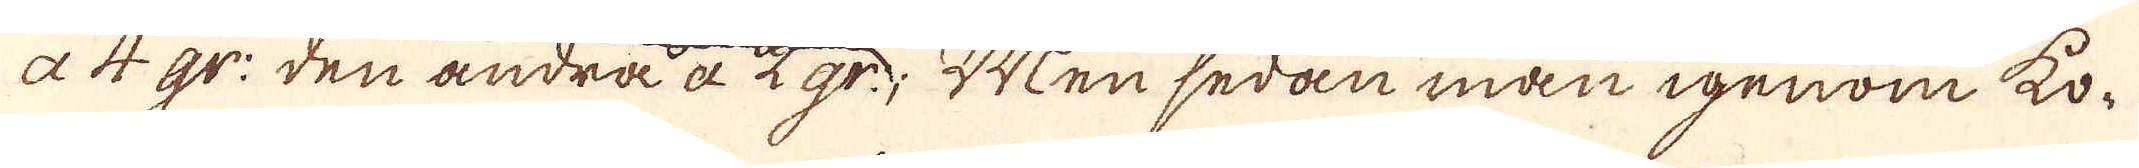a 4 gr: den andra à 12 gr; Men sedan man igenom ko-
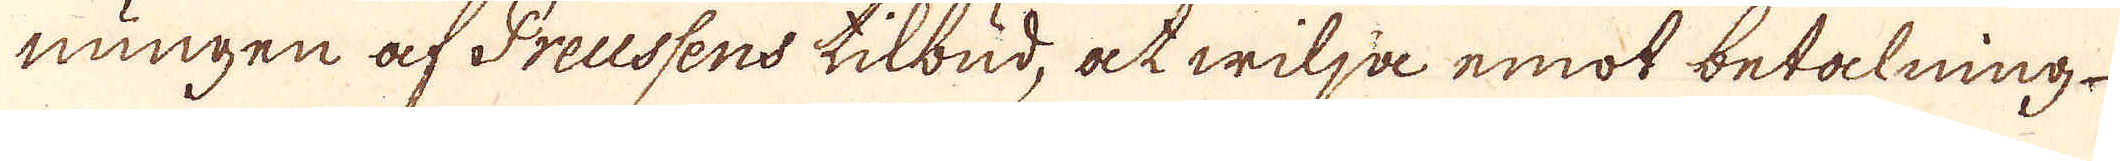ningen af Preussens tilbud, at wilja emot betalning
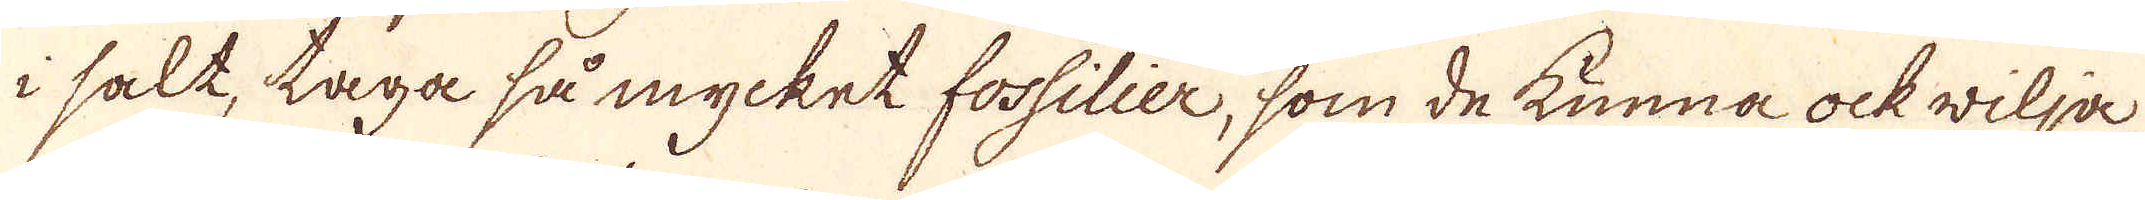i salt, taga så mycket fossilier, som de kunna ock wilja
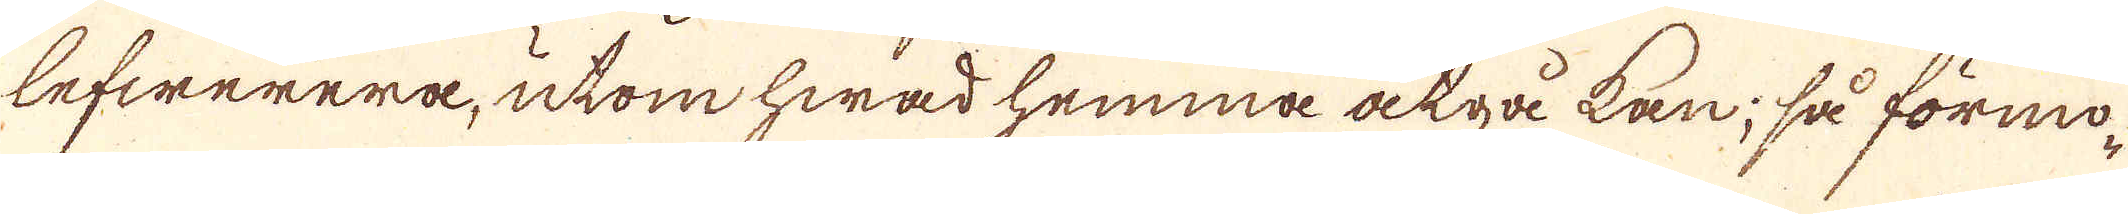lefwerera, utom hwad hemma åtgå kan; så förmo-
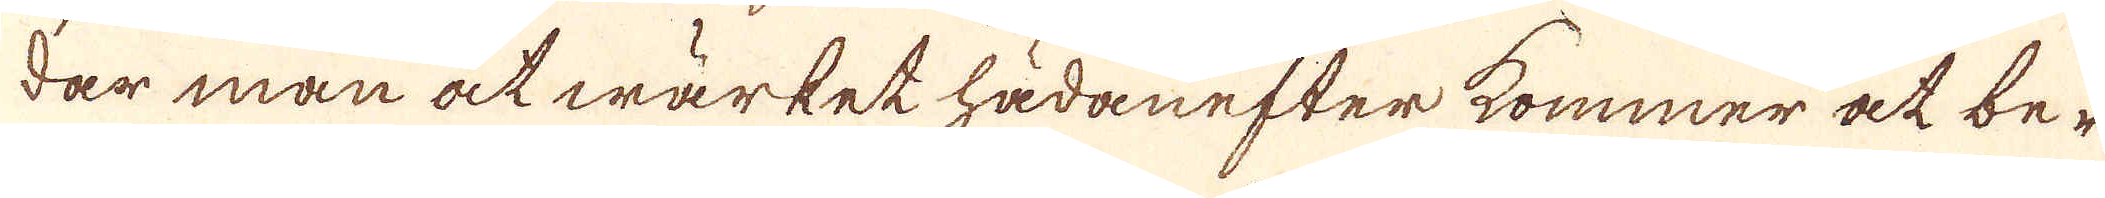dar man at wärket hädanefter kommer at be-
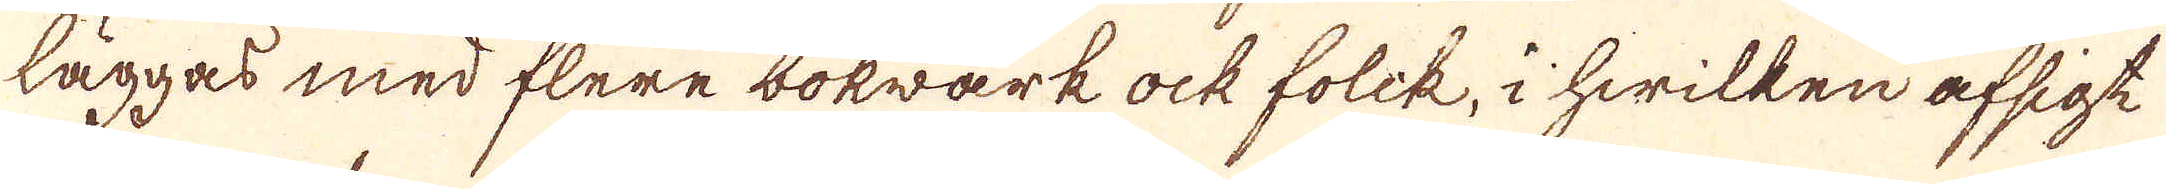läggas med flere bokwärk ock folik, i hwilken afsigt
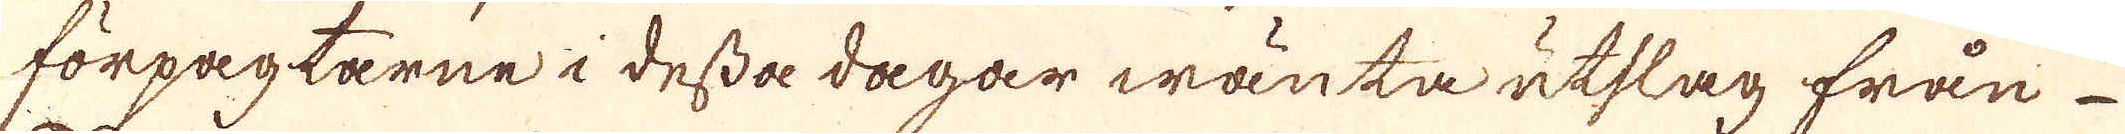förpagtarne i dessa dagar wänta utslag från
